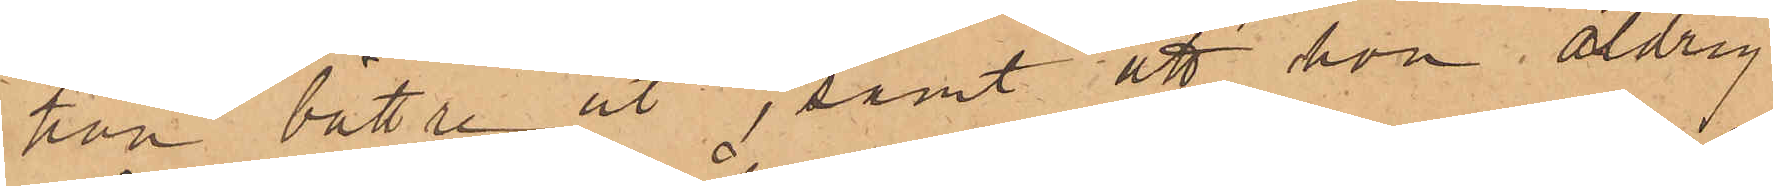hon bättre ut; samt att hon aldrig
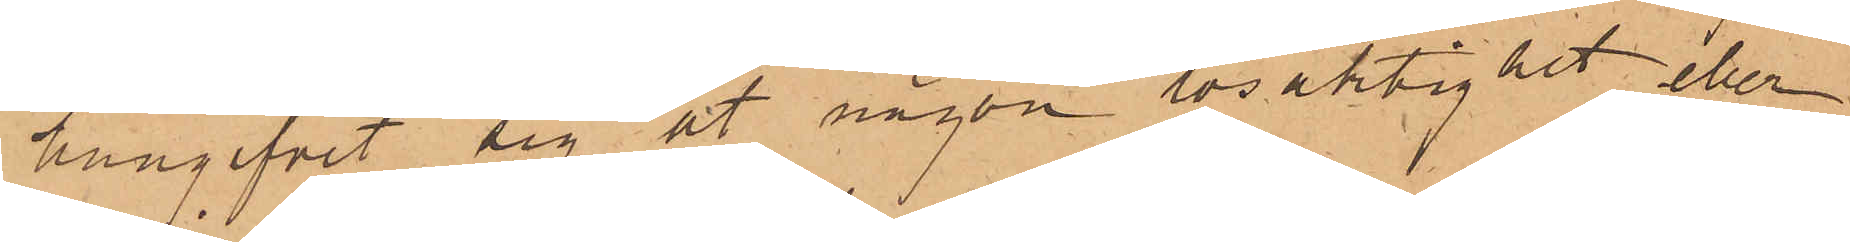hängifvit sig åt någon lösaktighet eller
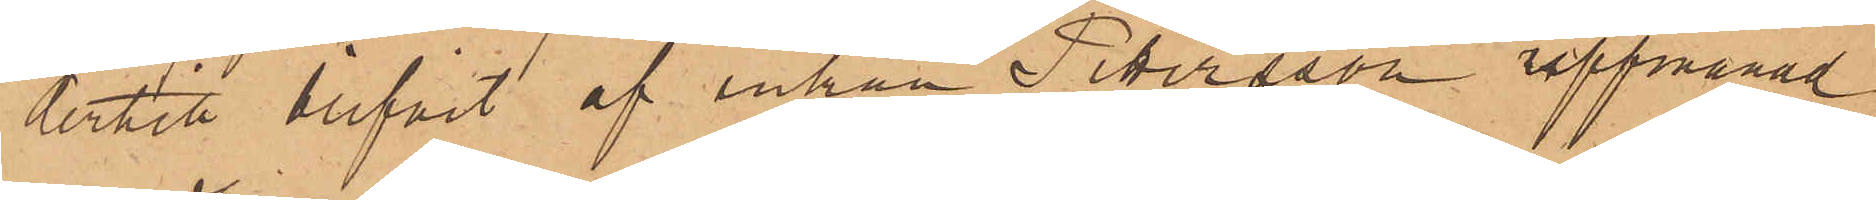dertil blifvit af enkan Petersson uppmanad.
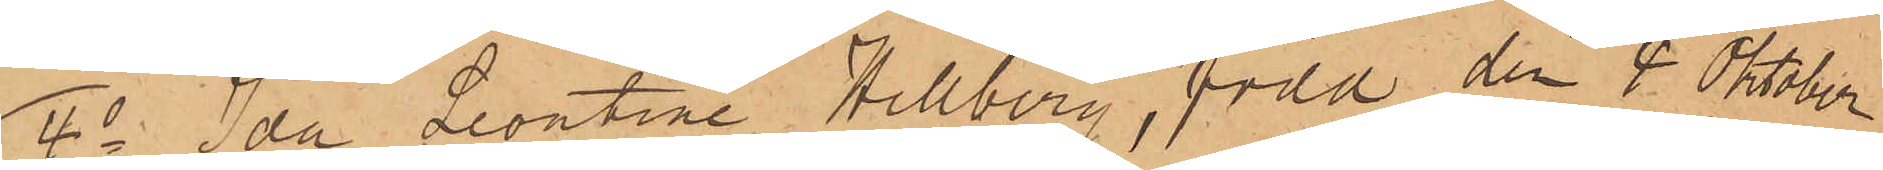4o Ida Leontine Hellberg, född den 4 Oktober
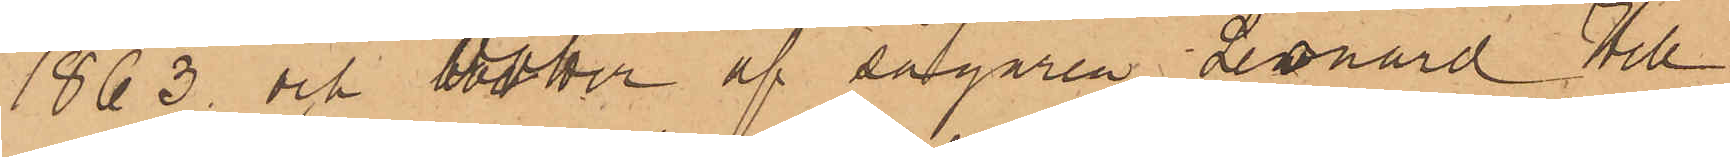1863 och dotter af sågaren Leonard Hell¬
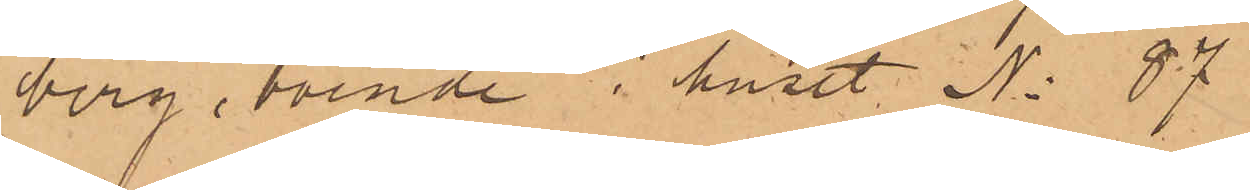berg, boende i huset No 87
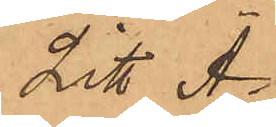Litt A
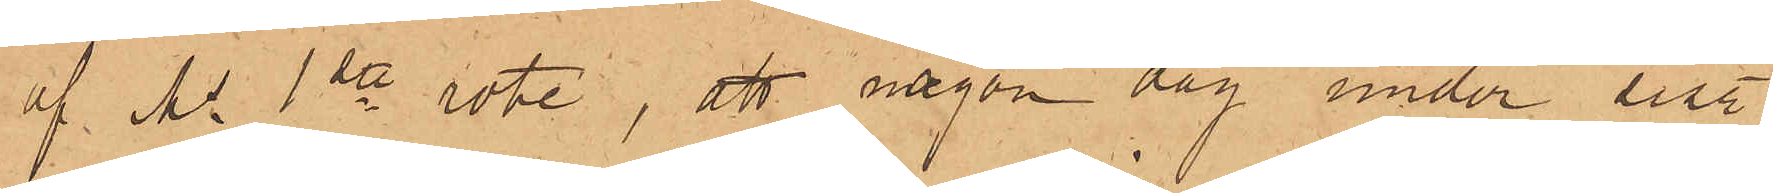af Ms 1ste rote, att någon dag under sist
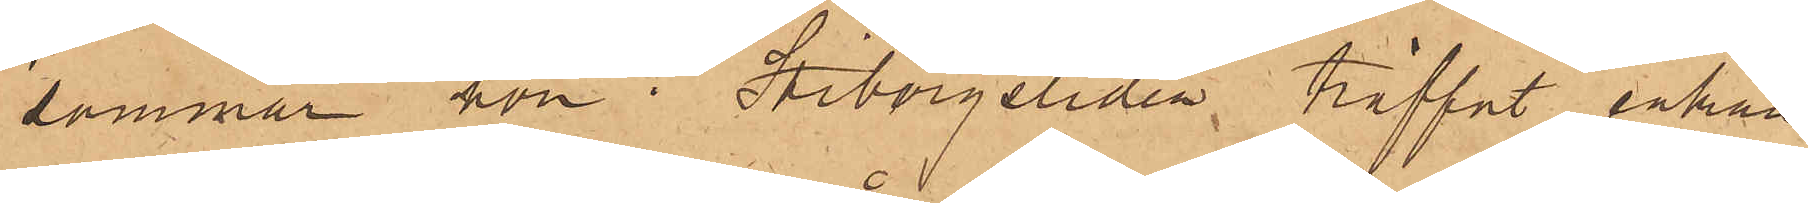sommar hon i Stibergsliden, träffat enkan
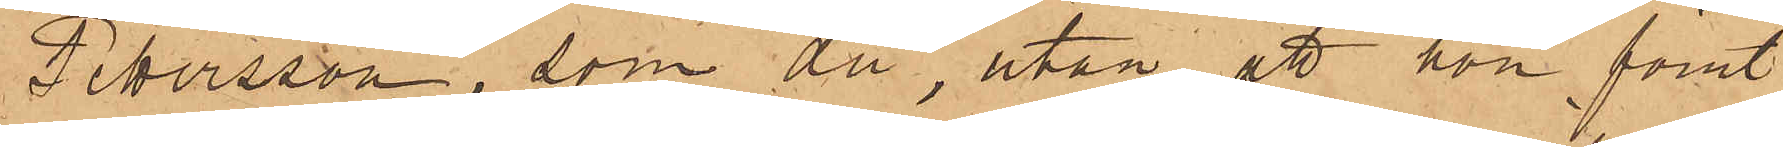Pettersson, som då, utan att hon förut
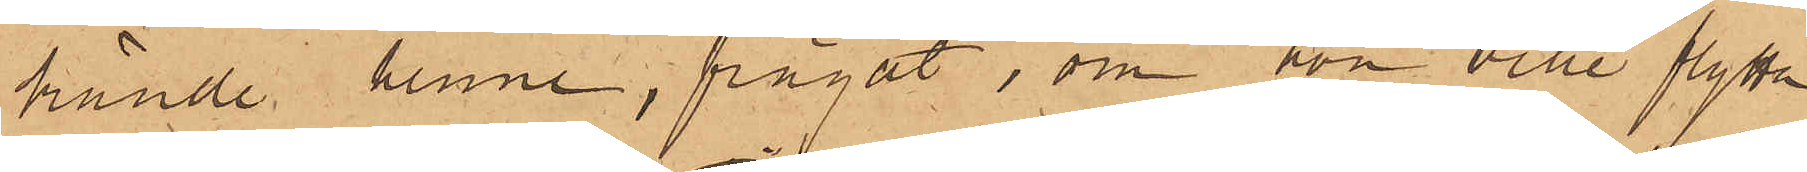kände henne, frågat, om hon ville flytta
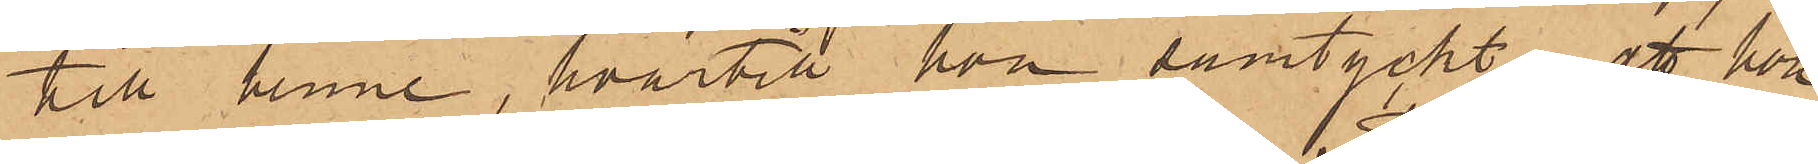till henne, hvartill hon samtyckt, att hon
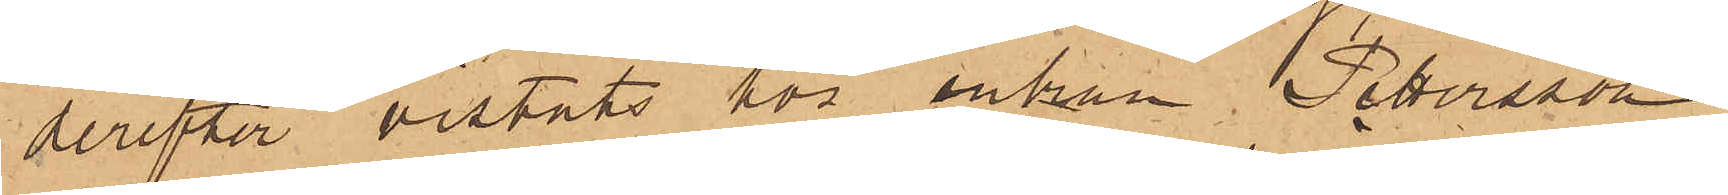derefter vistats hos enkan Pedersson
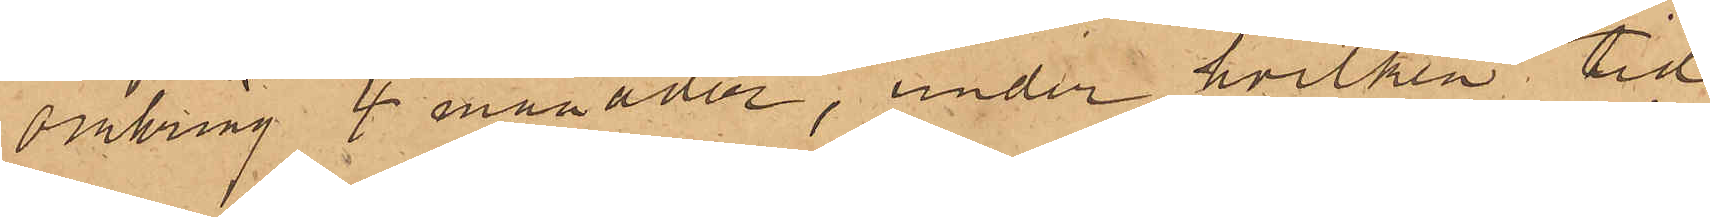omkring 4 månader, under hvilken tid
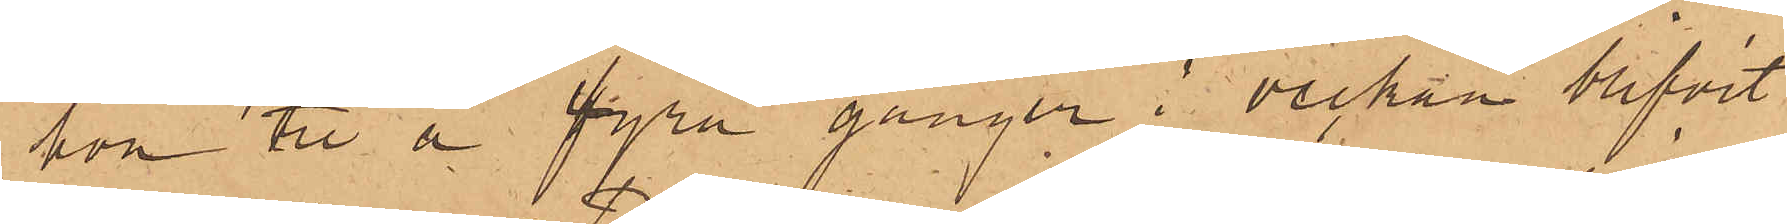hon tre a fyra gånger i veckan blifvit
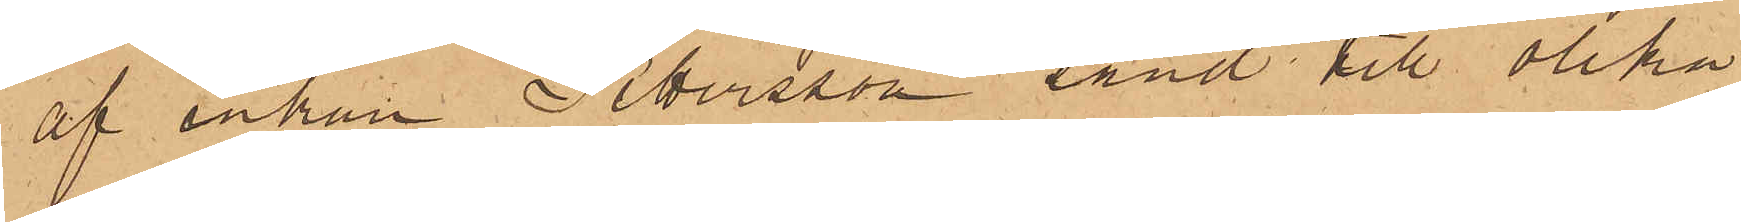af enkan Pettersson sänd till olika
